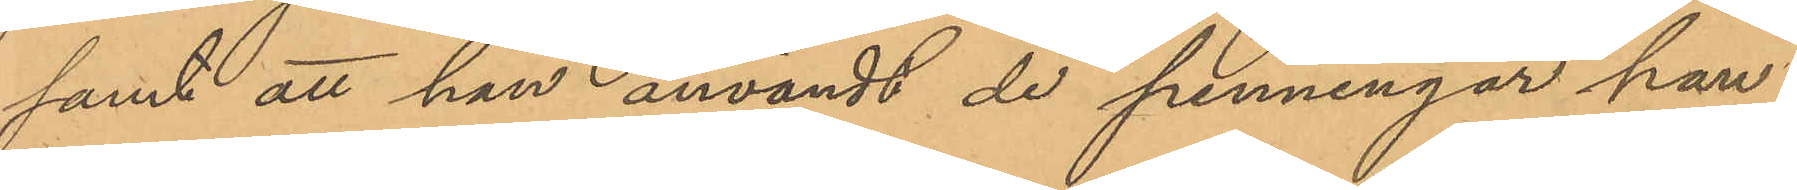samt att han användt de penningar han
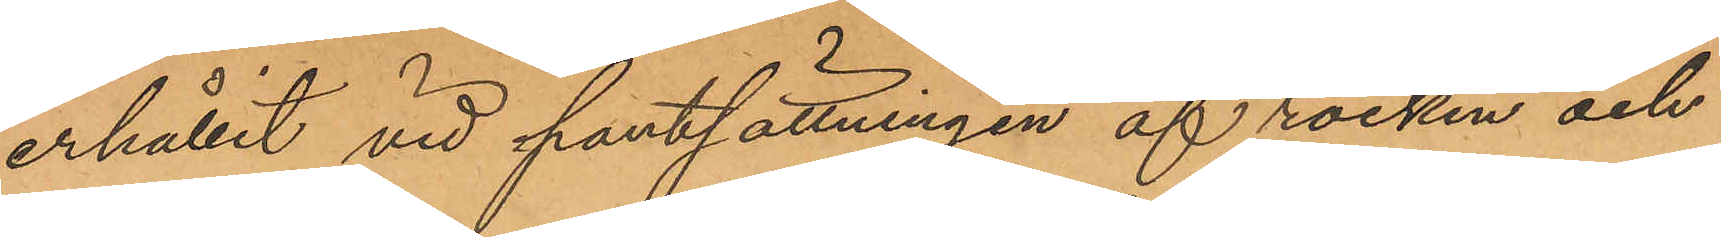erhållit vid pantsättningen af rocken och
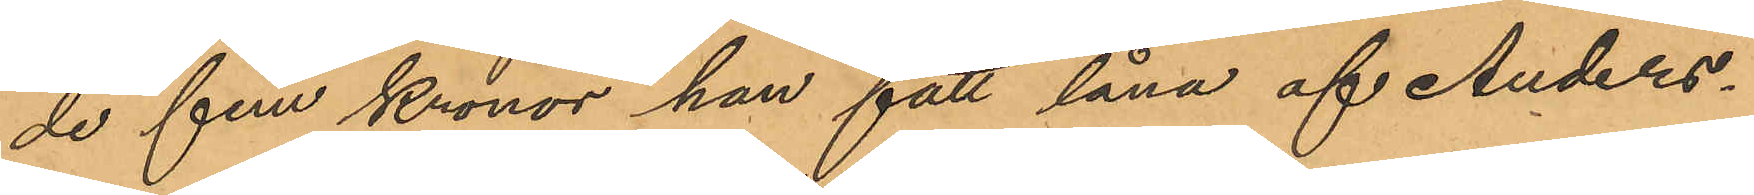de fem Kronor han fått låna af Anders¬
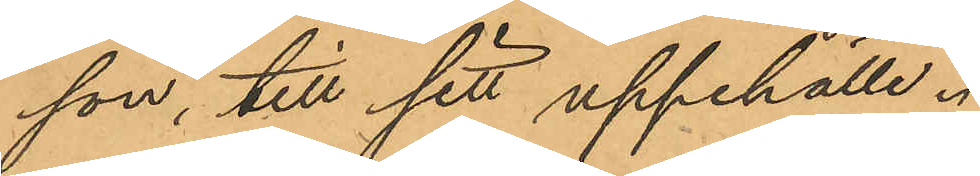son till sitt uppehälle.
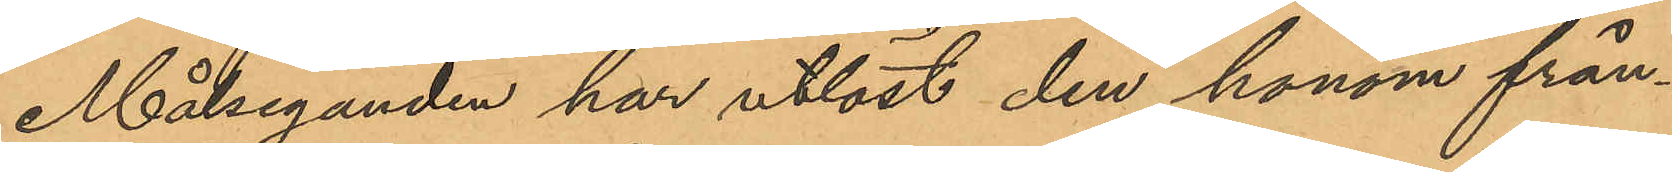Målseganden har utlöst den honom från¬
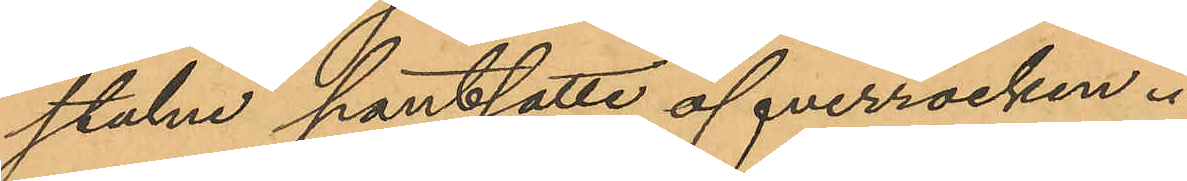stulne pantsatte öfverrocken.
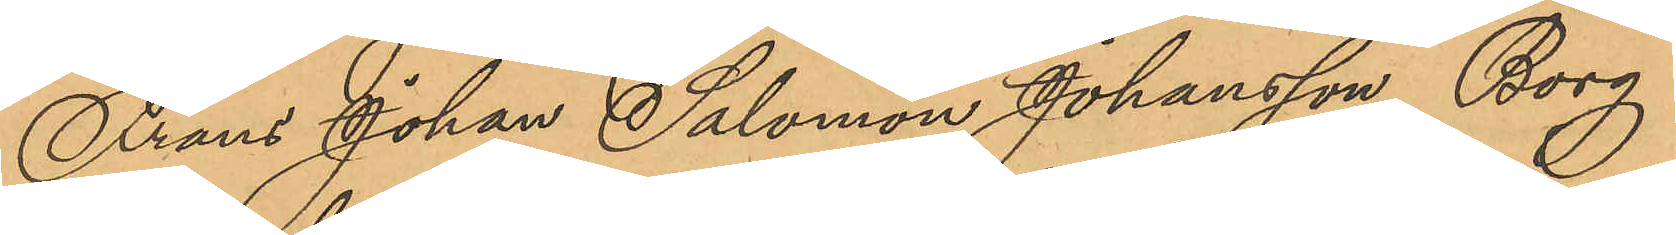Frans Johan Salomon Johansson Borg
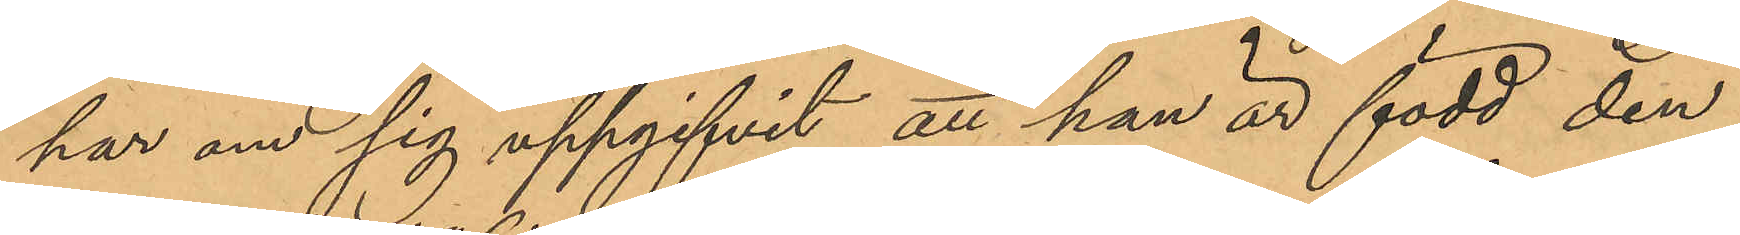har om sig uppgifvit, att han är född den
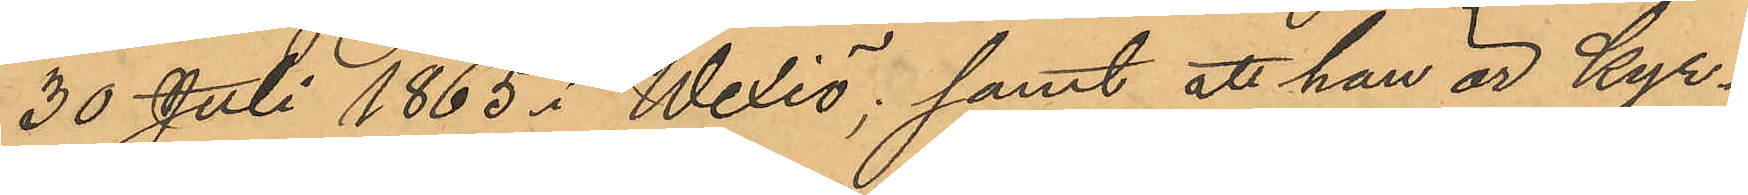30 Juli 1865 i Wexiö; samt att han är kyr¬
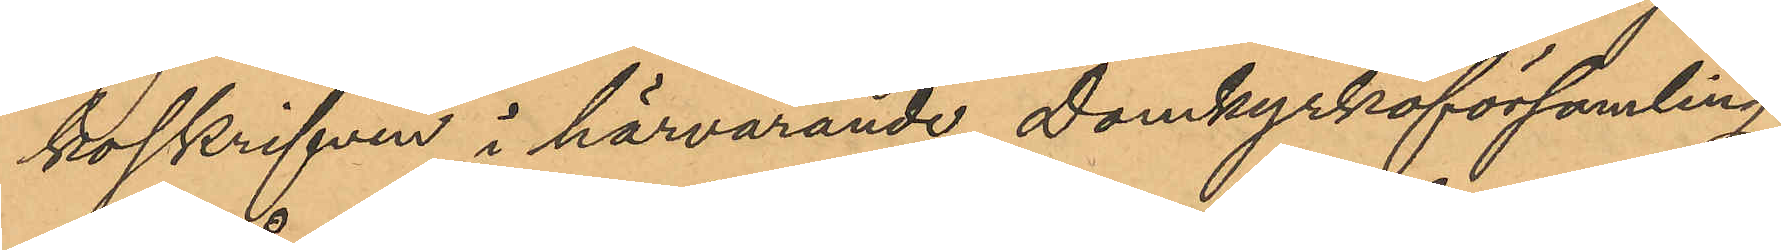koskrifven i härvarande Domkyrkoförsamling.
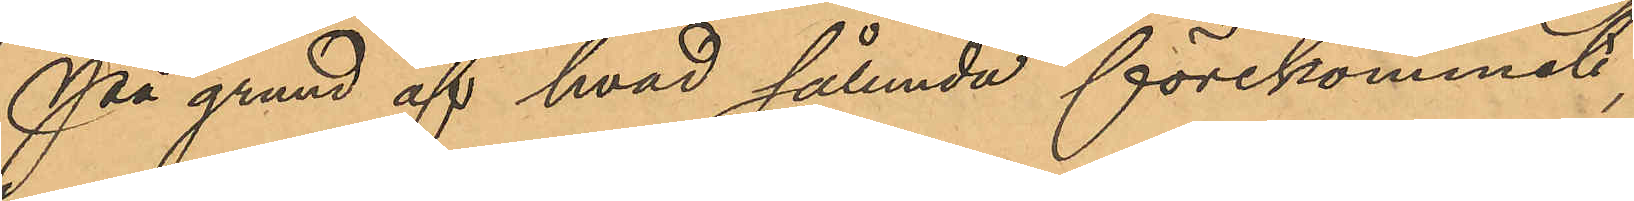På grund af hvad sålunda förekommit,
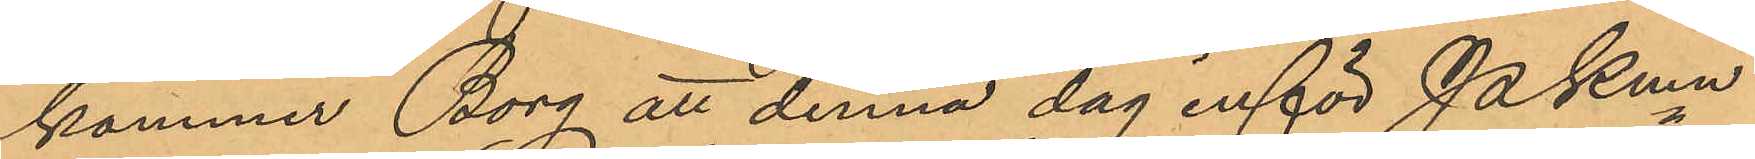kommer Borg att denna dag inför PKmn
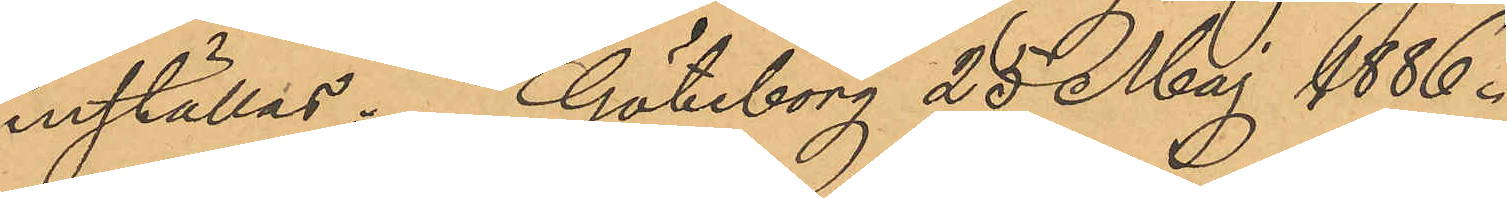inställas. Göteborg 25 Maj 1886.
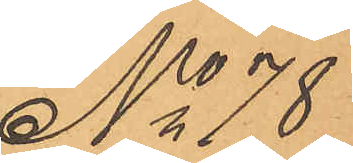No 78
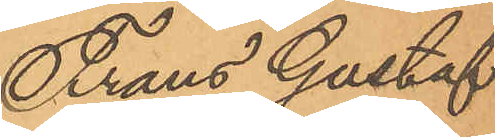Frans Gustaf
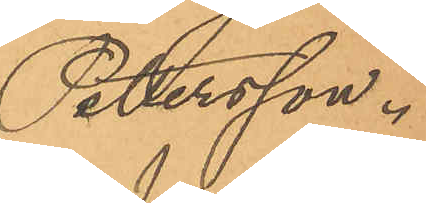Pettersson.
